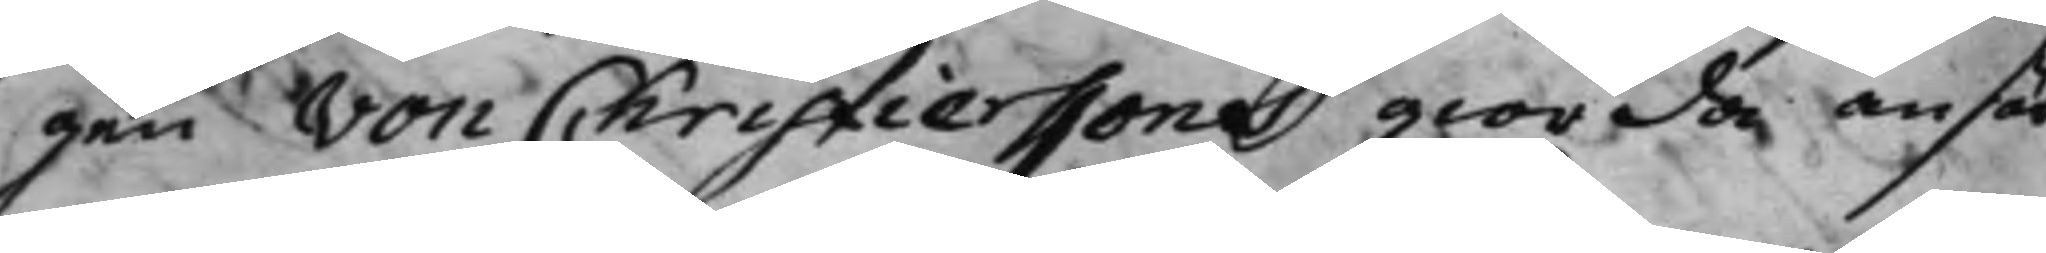gen von Christierssons giorda ansök¬
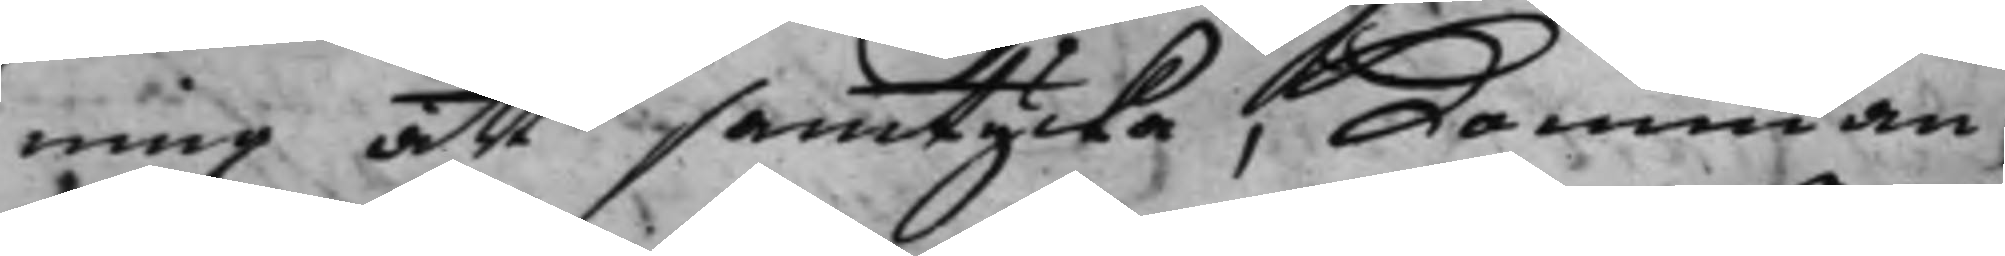ning att samtycka, Komman¬
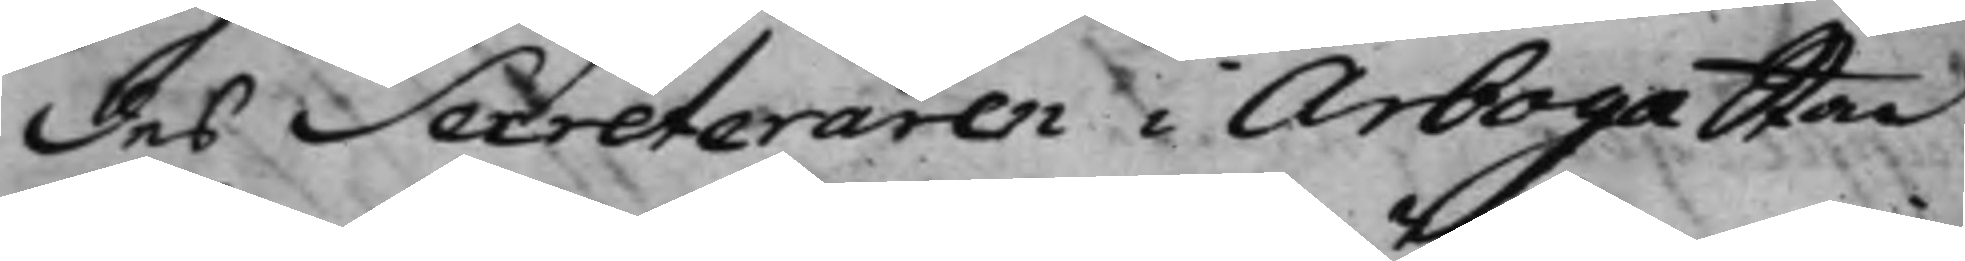des Secreteraren i Arboga Stad
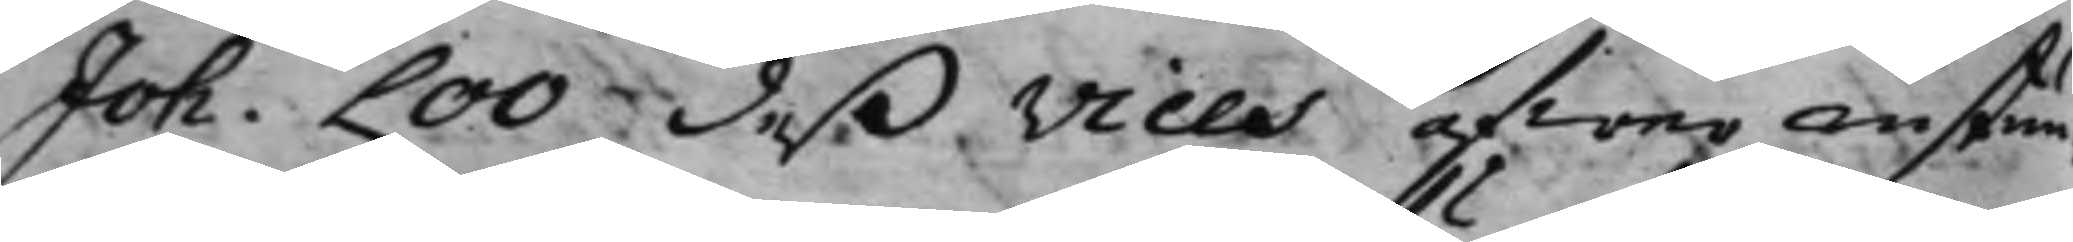Joh. Loo deß Vices öfwer instun¬
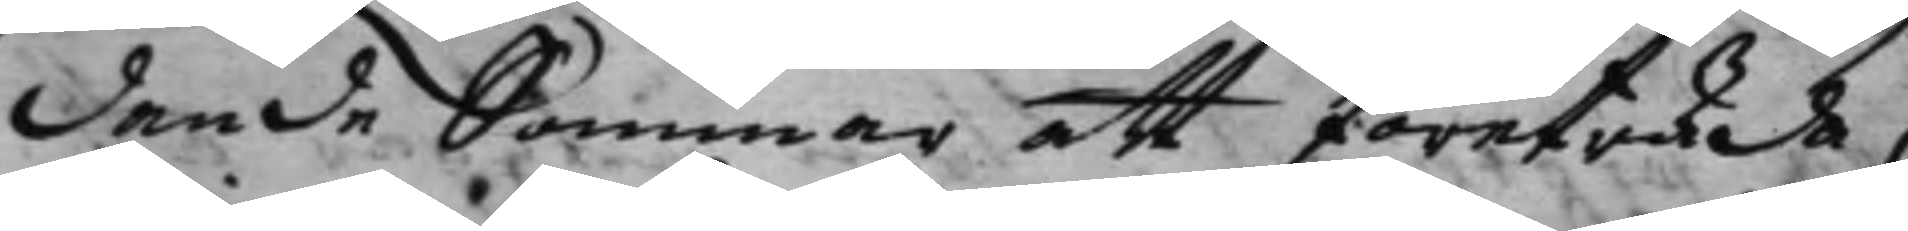dande Sommar att företräda;
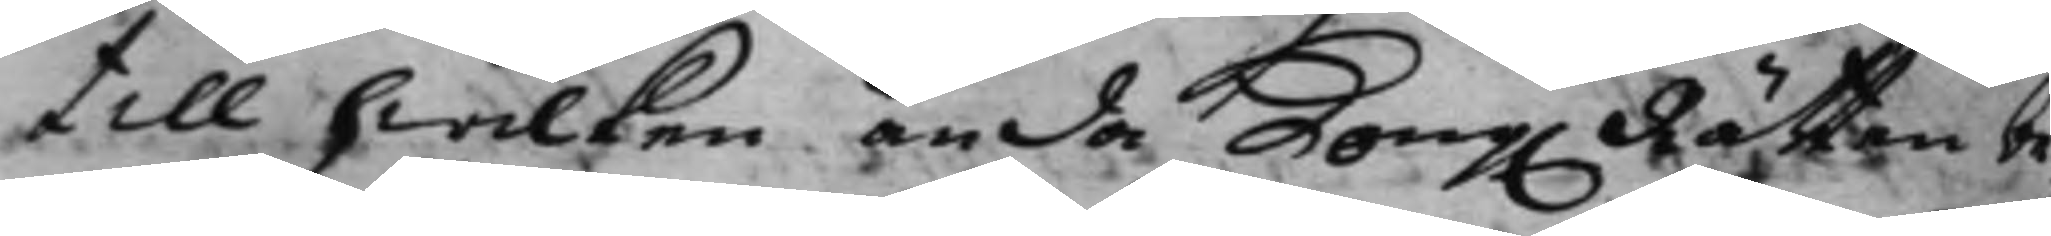till hwilken ända Kong. Rätten be¬ 
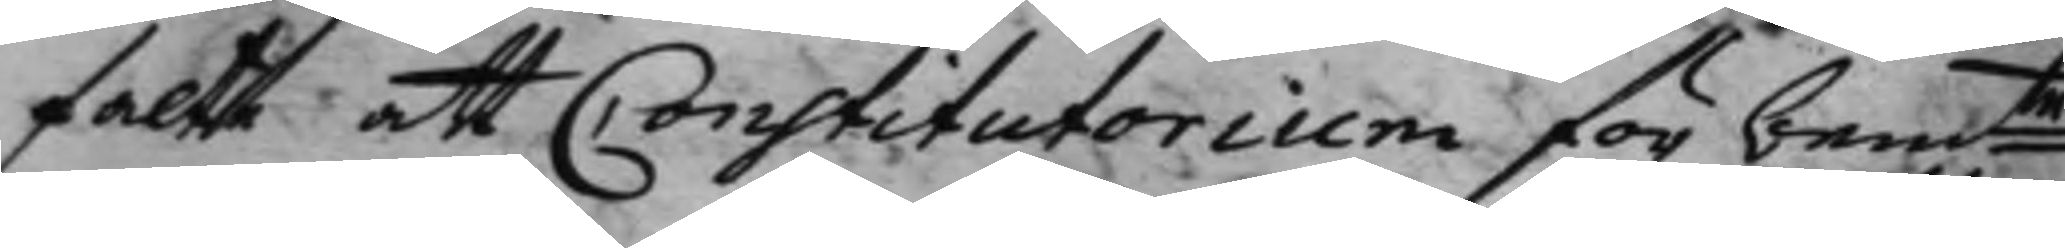falte att Constitutorium för bemte 
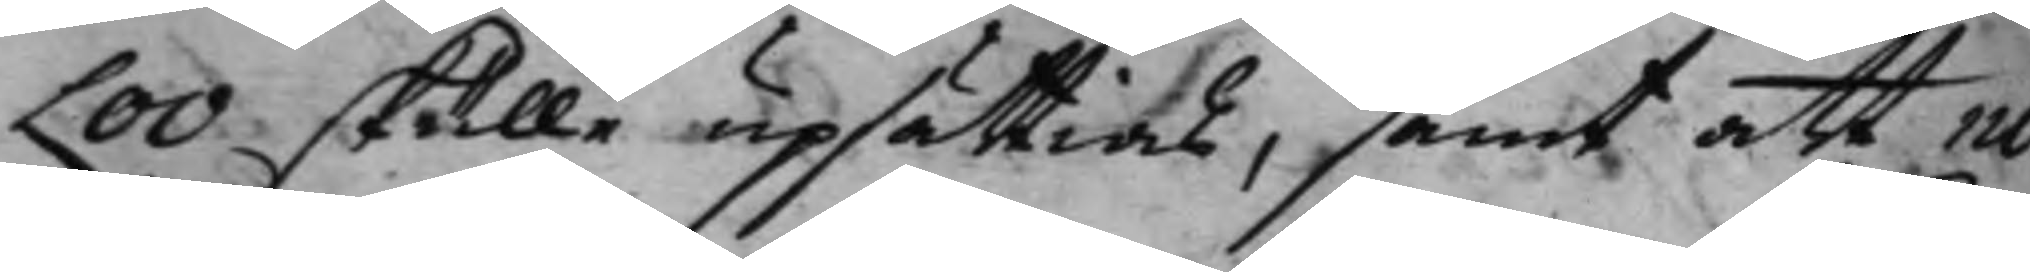Loo skulle upsättias, samt att no¬
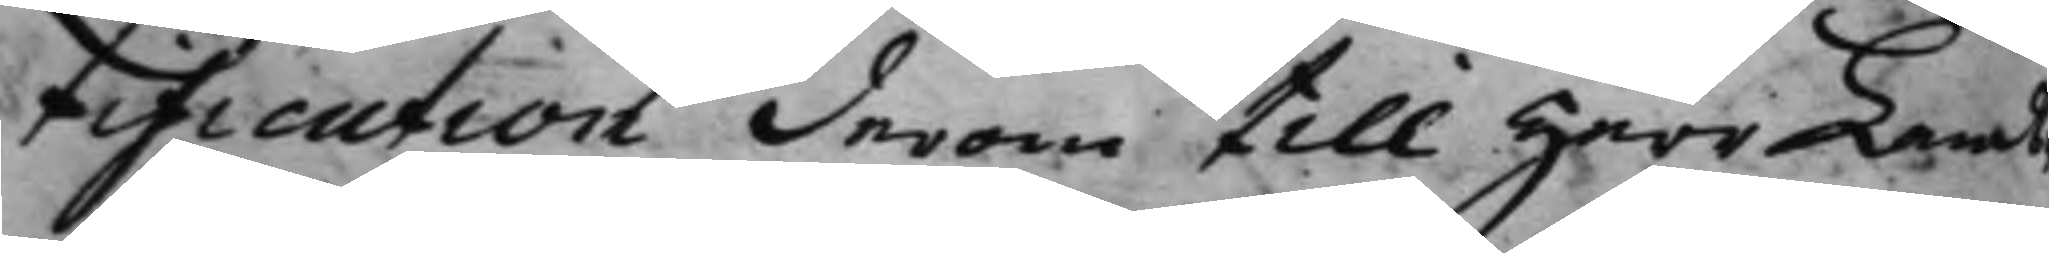tification derom till herr Lands¬
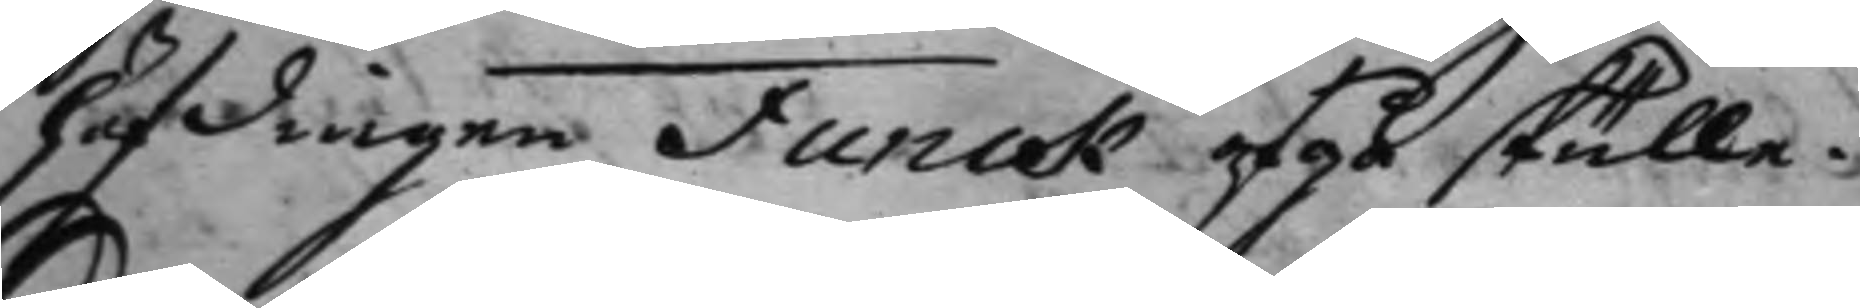höfdingen Funck afgå skulle. 
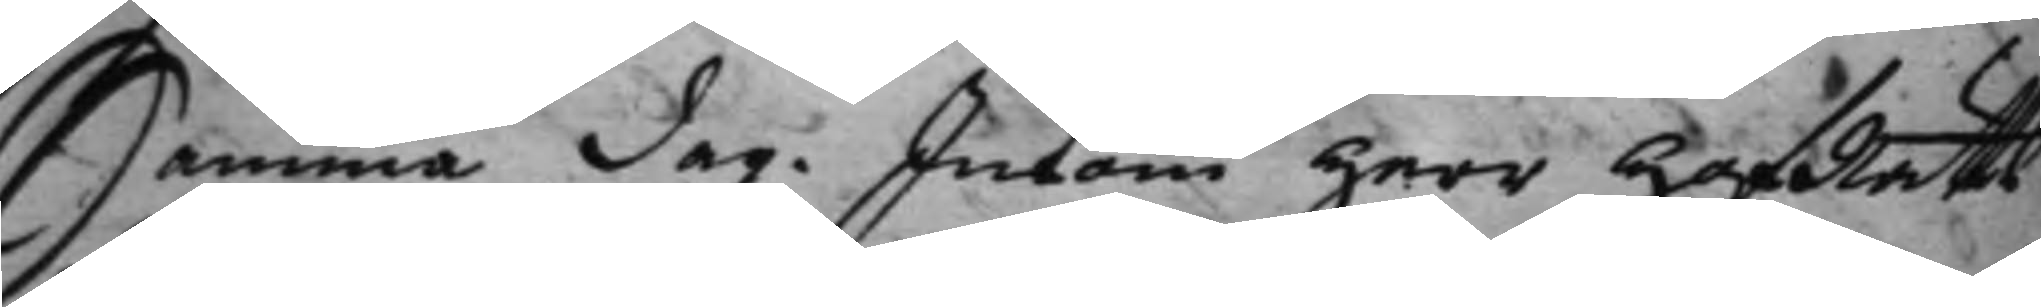Samma dag. Inkom Herr HofRätts¬
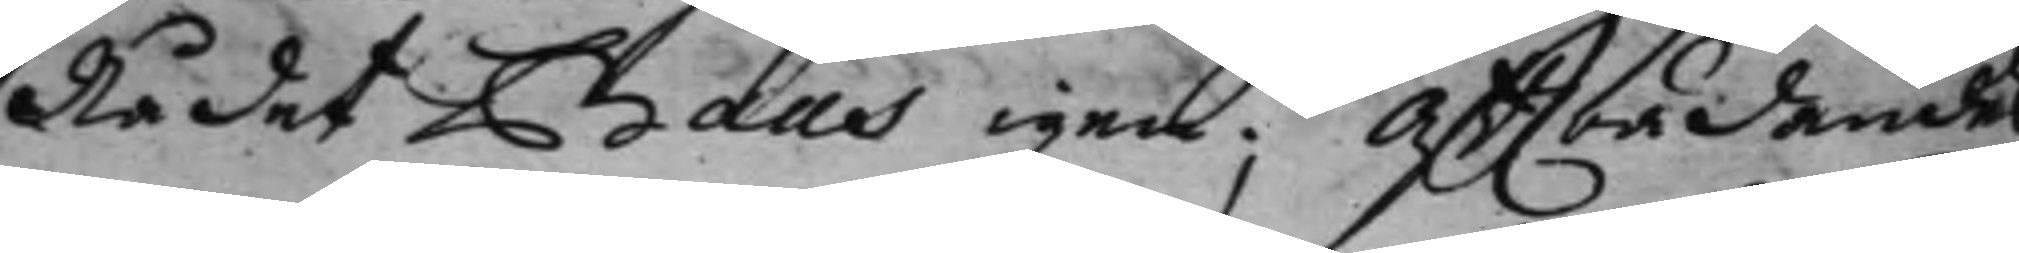Rådet Baas igen; Affträdandes
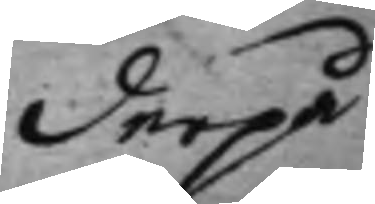derpå 
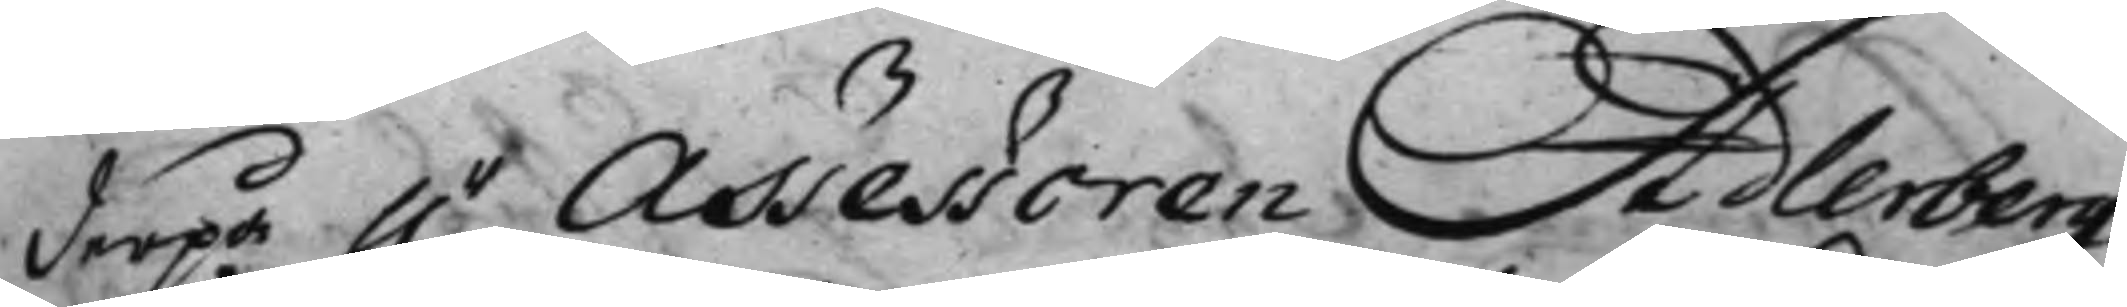derpå h.r Assessoren Adlerberg 
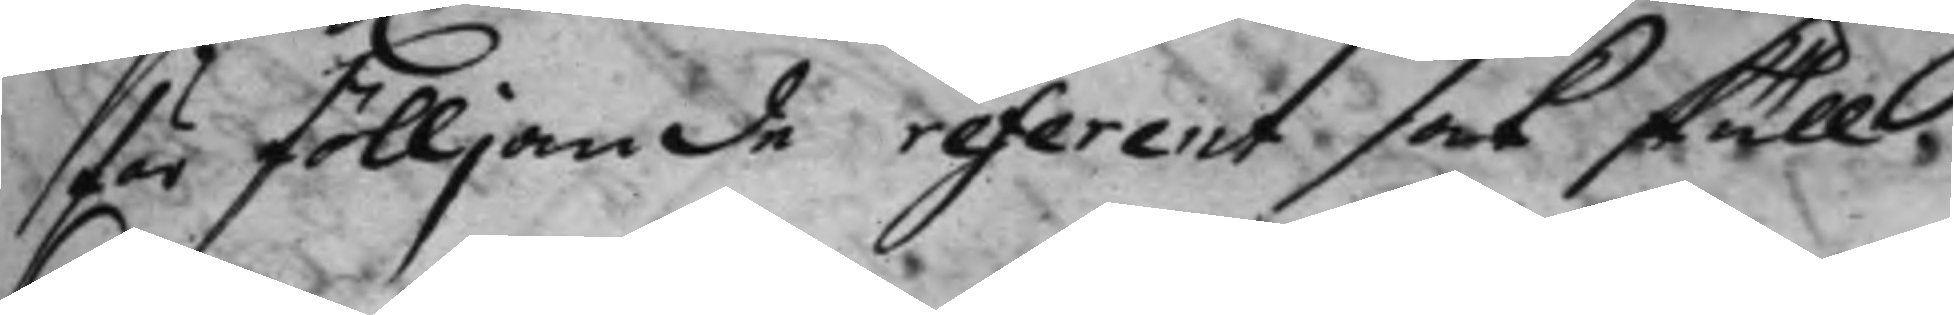för fölljande referent sak skull.
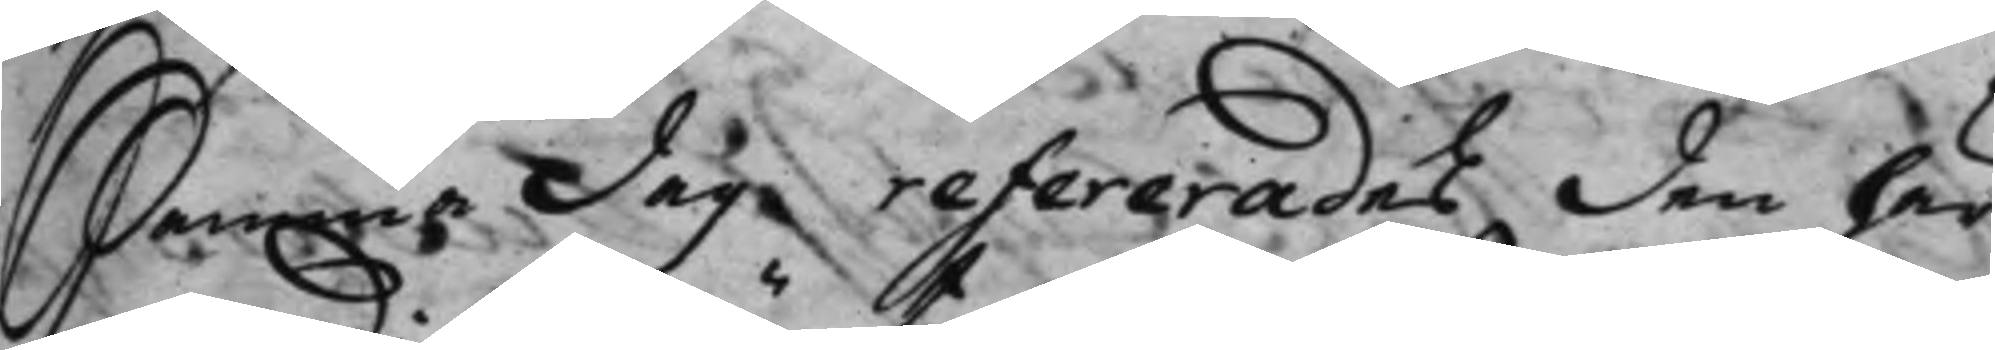Samma Dag refererades den här
